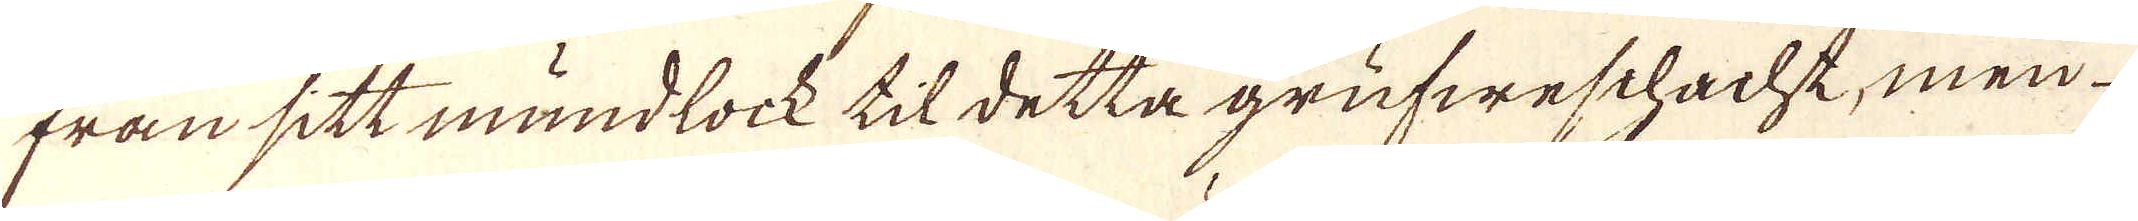från sitt mundlock til detta grufweschacht, men
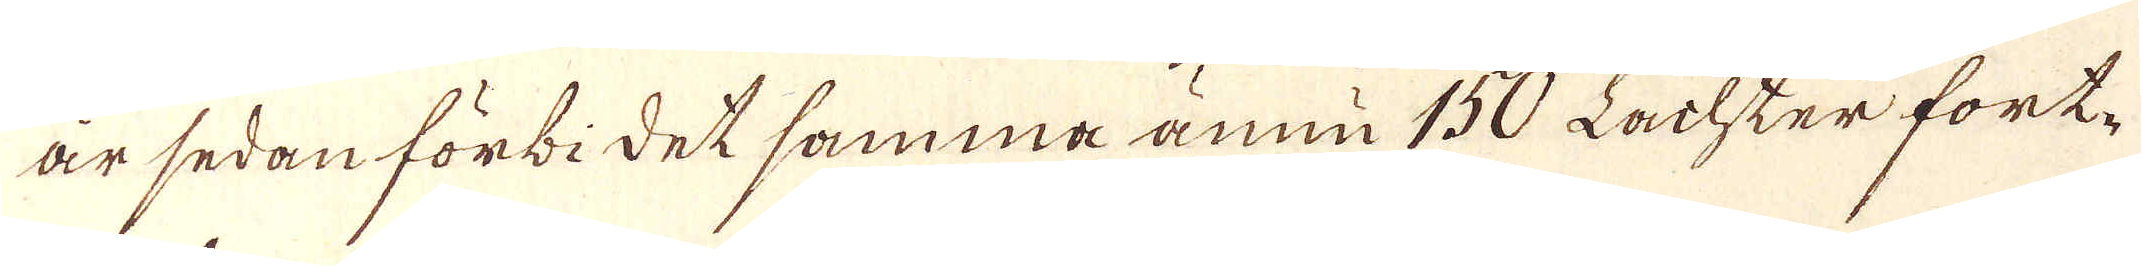är sedan förbidet samma ännu 150 Lachter fort-
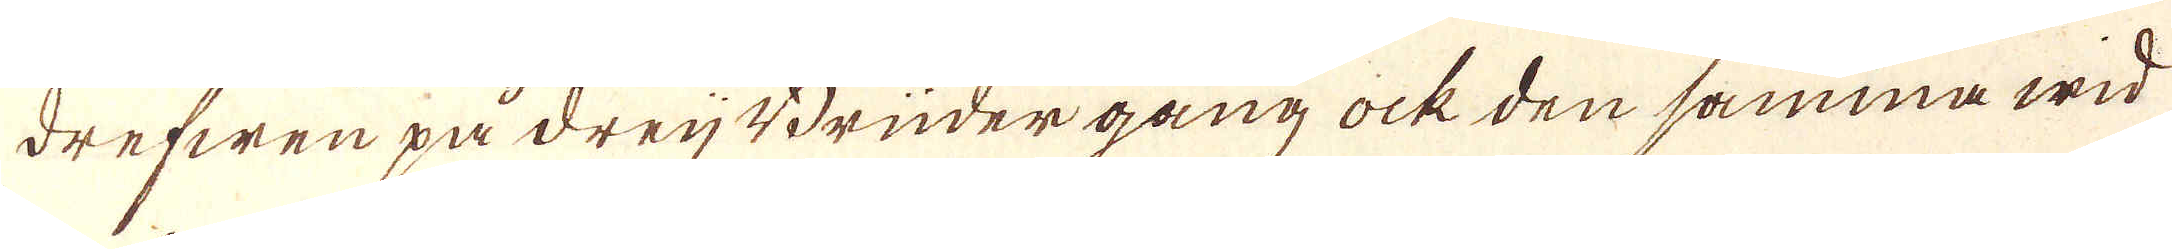drefwen på drej Brüder gång ock den samma wid
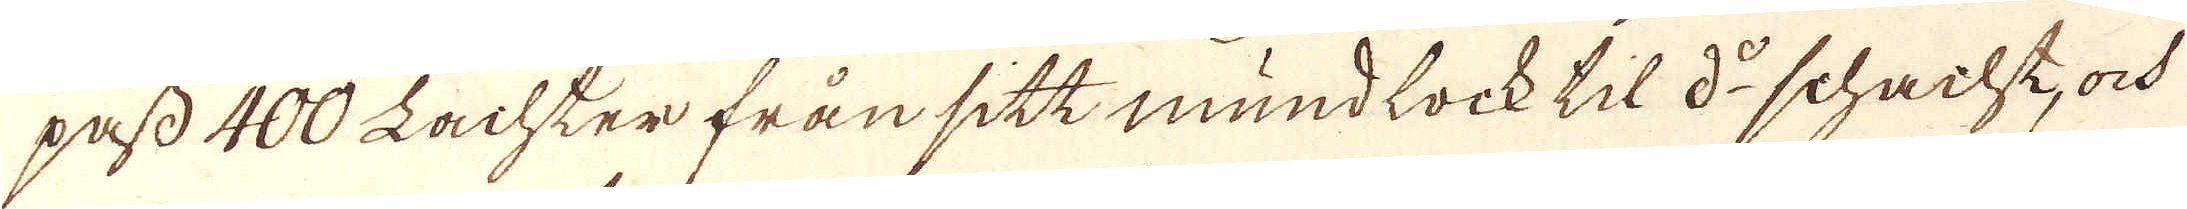pass 400 Lachter från sitt mundlock til d:o schacht, ock
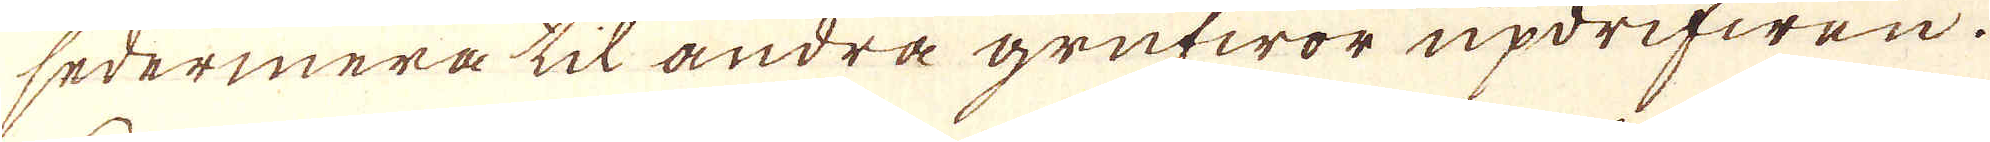sedermera til andra grufwor updrifwen.
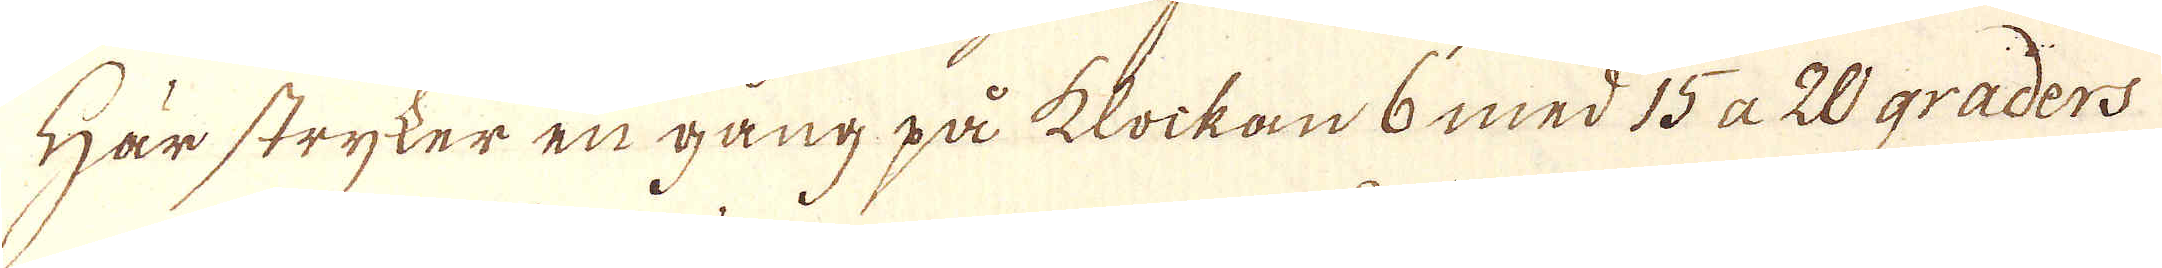Här stryker en gång på klockan 6 med 15 a 20 graders
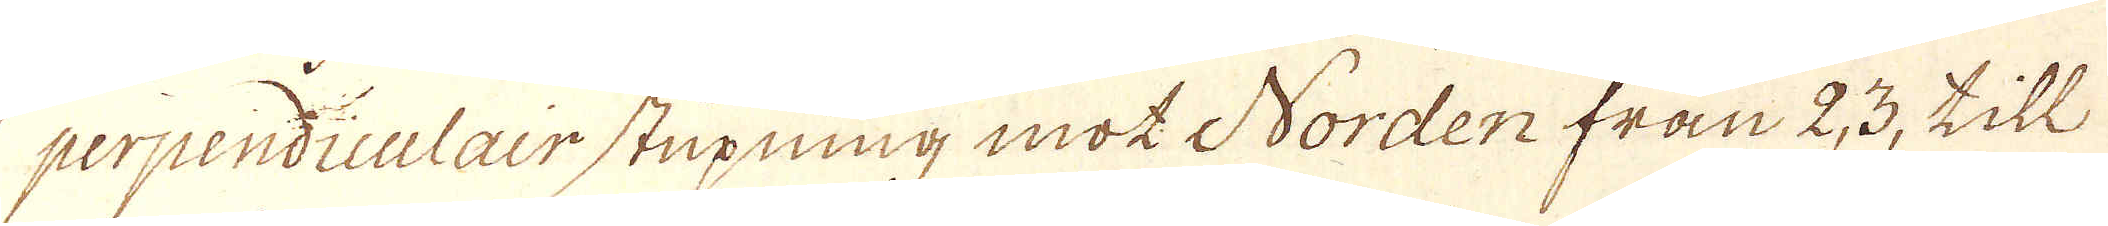perpendiculair stupning mot Norden från 2, 3, till
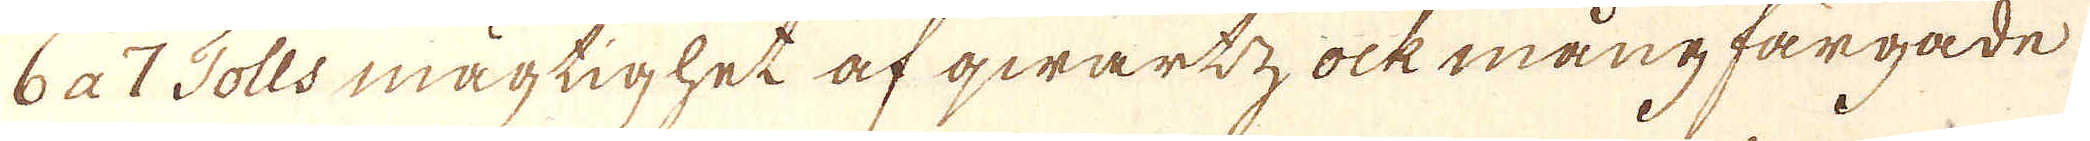6 a 7 Tolls mägtighet af qwartz ock mångfargade
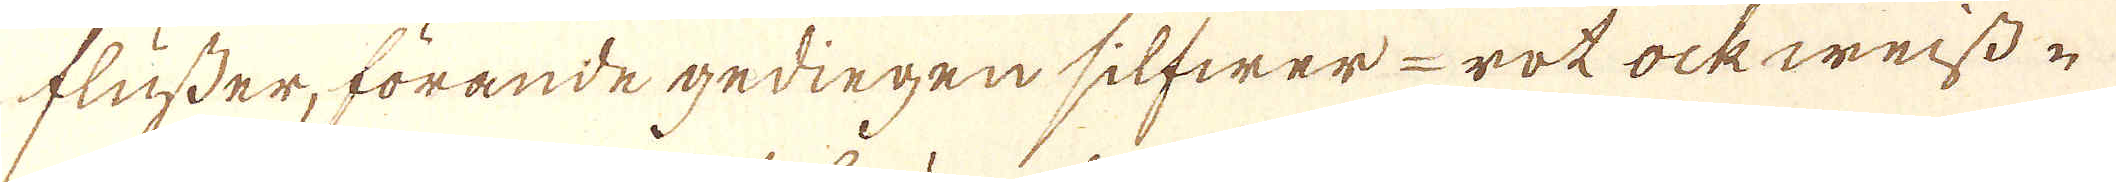flusser, förande gedingen silfwer-rot ock weiss-
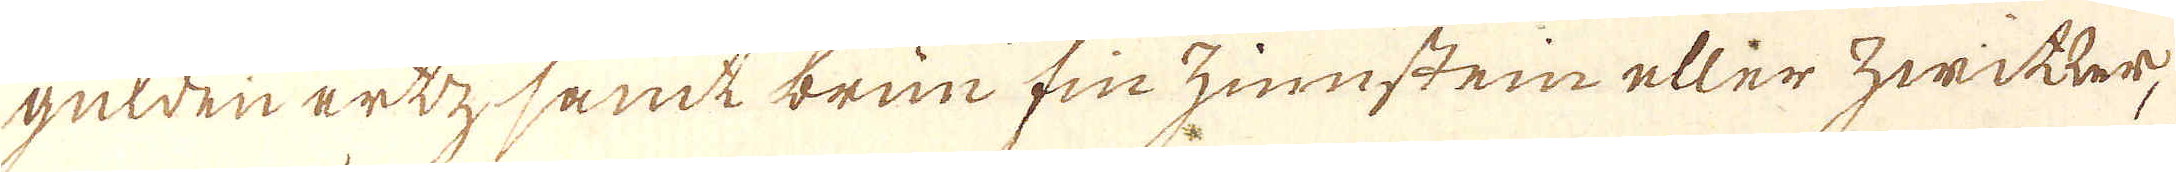gulden ertzsamt brun fin zinnsten eller hwitter,
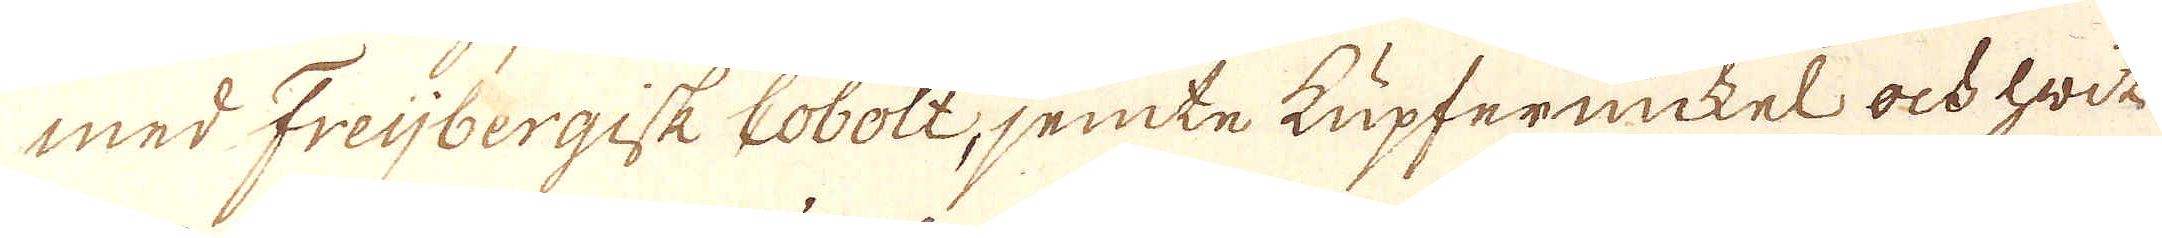med Freijbergisk cobolt, jemte kupfernickel ock hwit
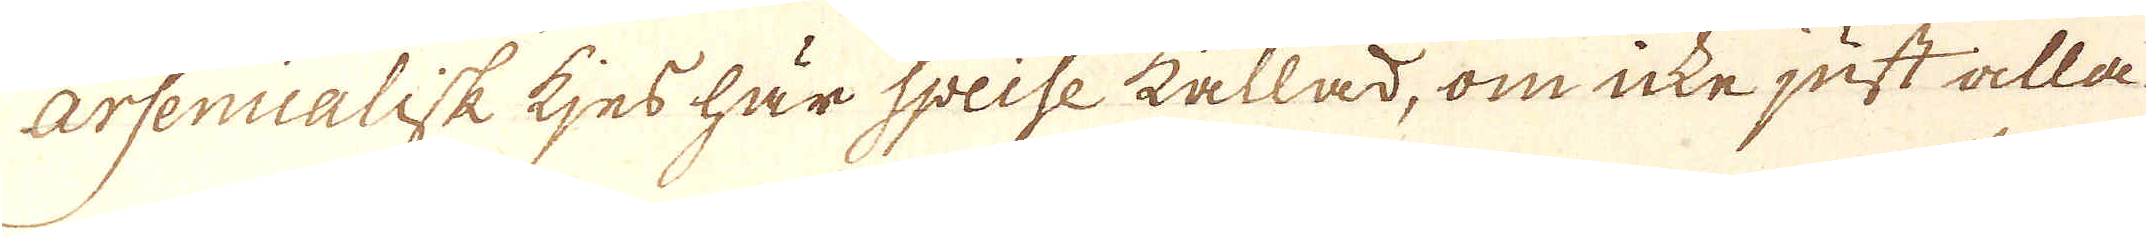Arsenualisk kjes här Speise kallad, om icke just alla
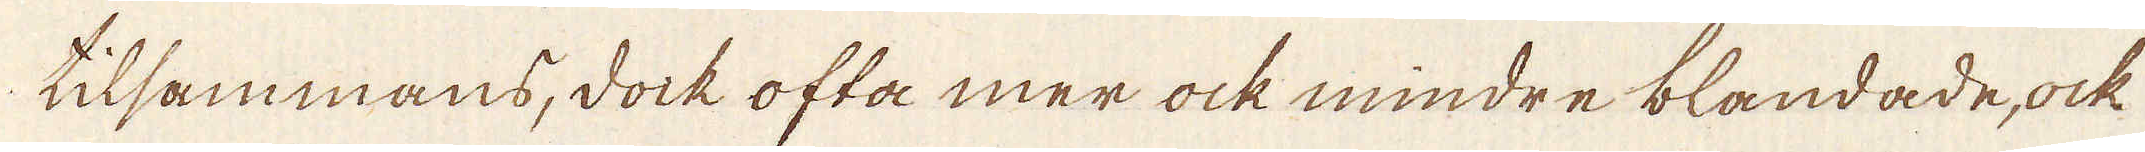tilsammans, dock ofta mer ock mindre blandade, ock
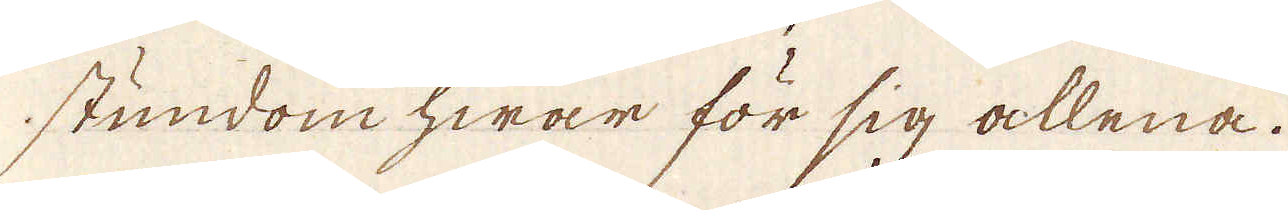stundom hwar för sig allena.
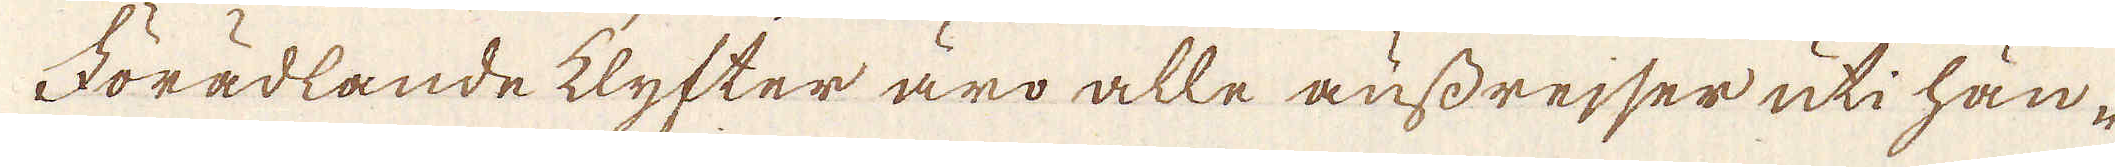Förädlande klyfter äro alle ausdrejser uti hän-
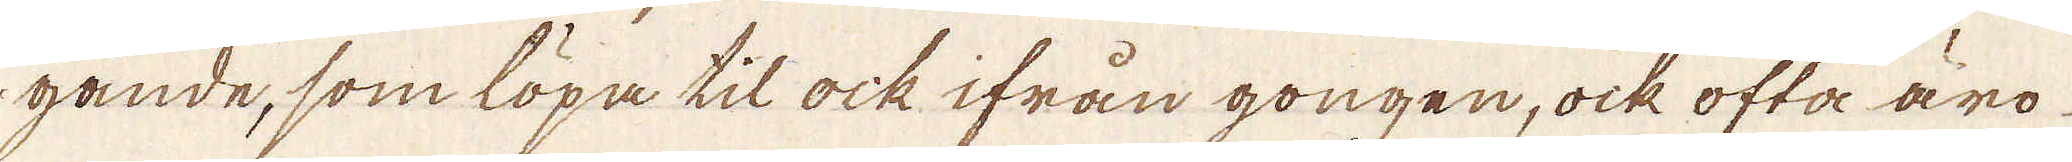gande, som löpa til ock ifrån gongen, ock ofta äro
